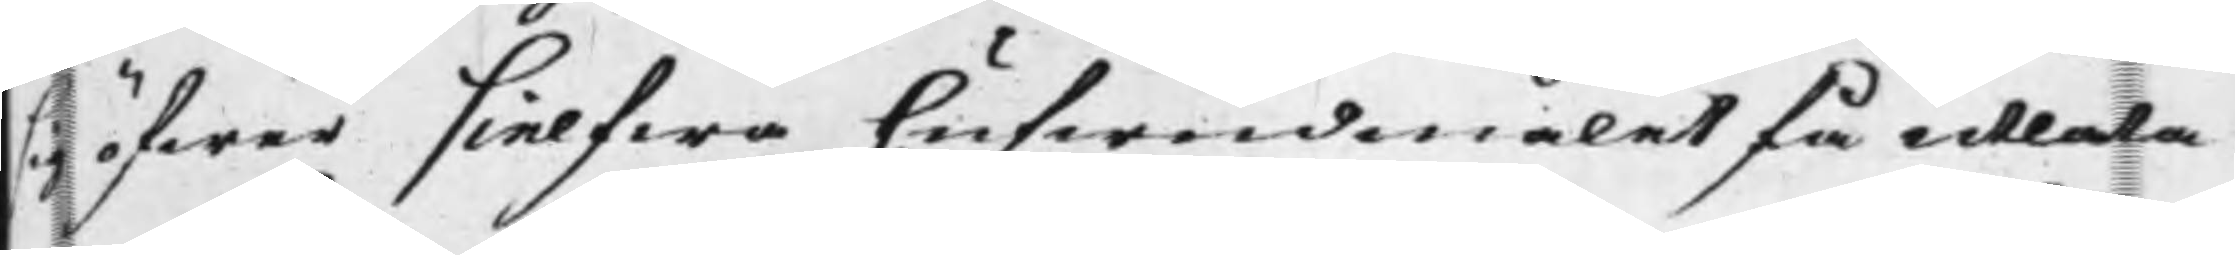sig öfwer sielfwa hufwudmålet få utlåta.
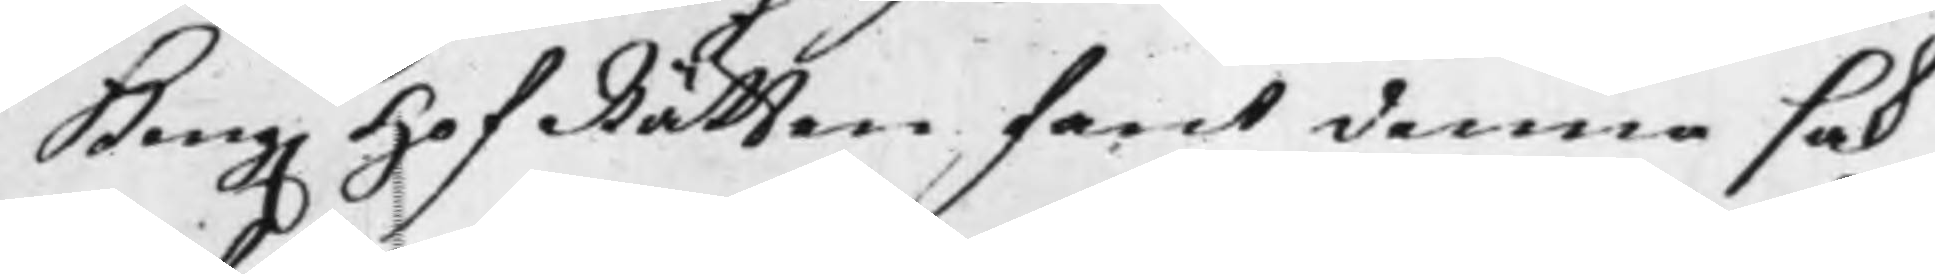Kong. HofRätten fant denna sak
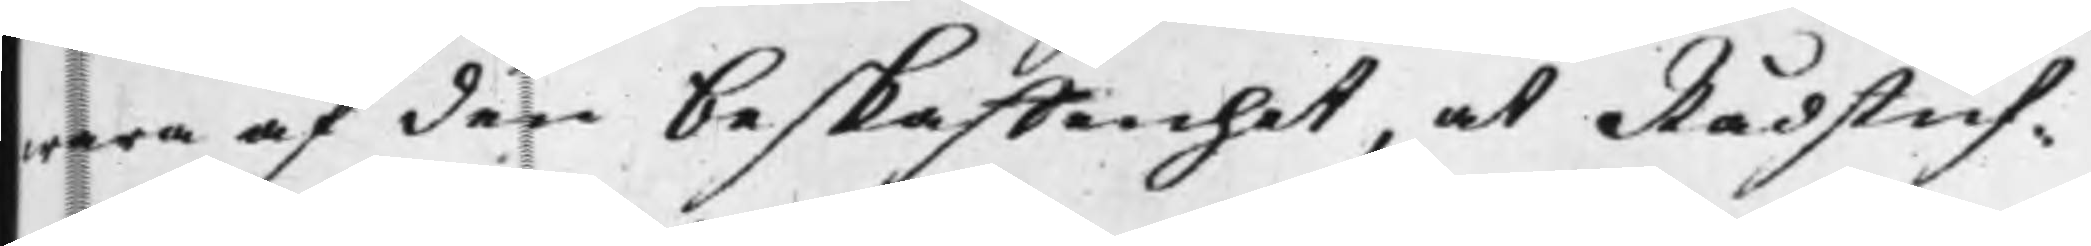wara af den beskaffehet, at Rådstuf¬
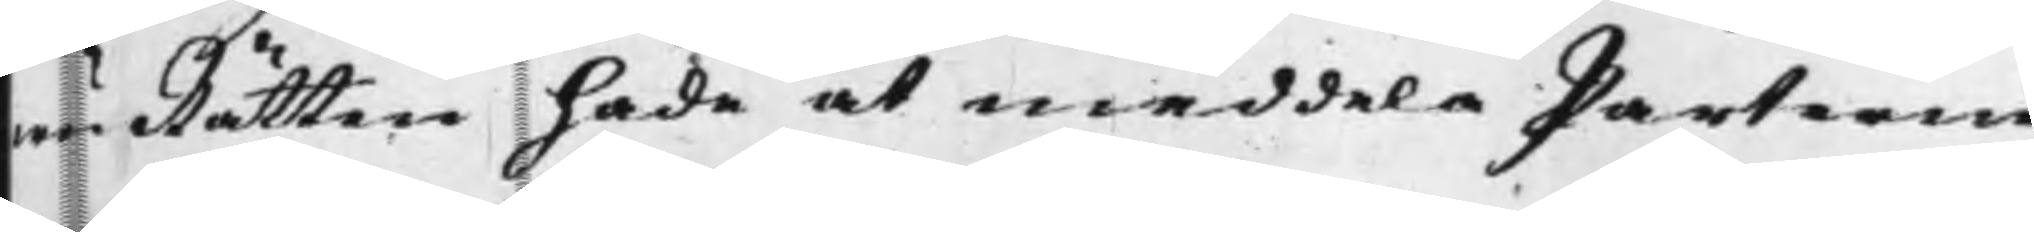wuRätten hade at meddela Parterne
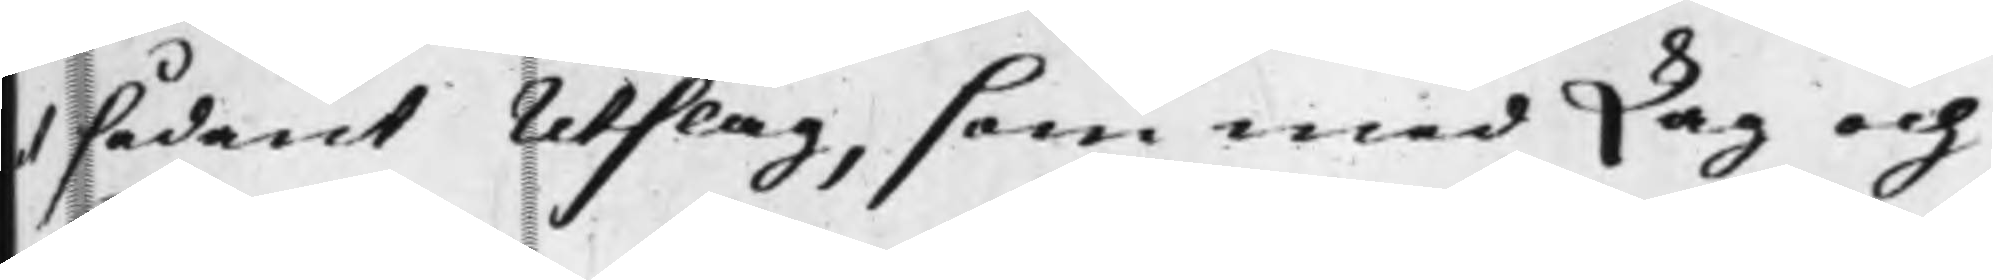et sådant Utslag, som med Lag och
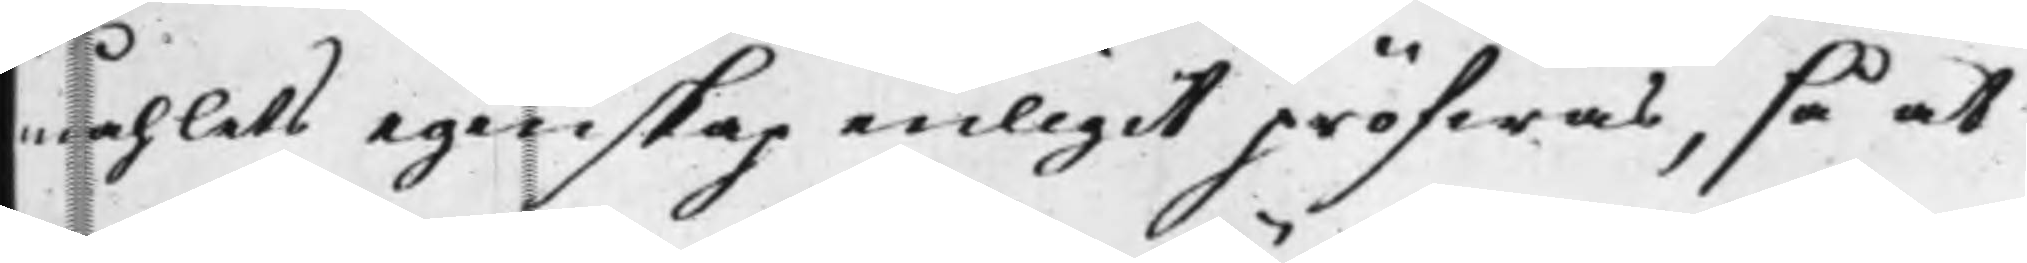måhlets egenskap enligit pröfwas, så at
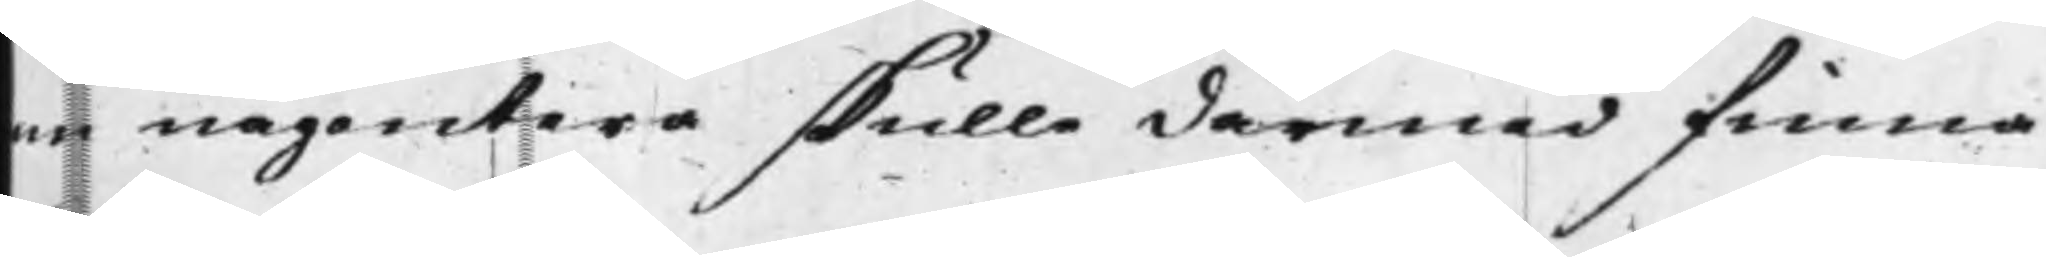om någontera skulle därmed finna
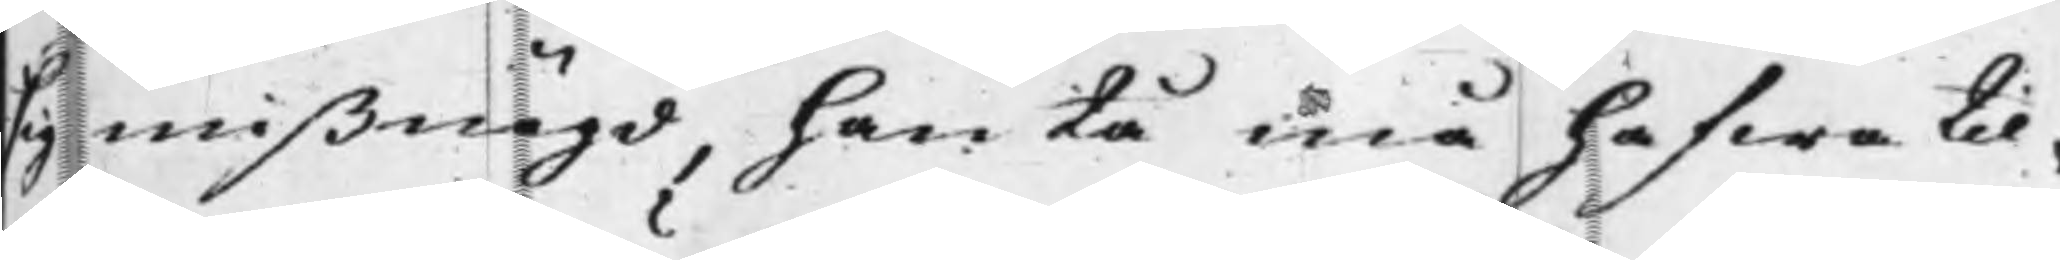sig mißnögd, han tå må hafwa til¬
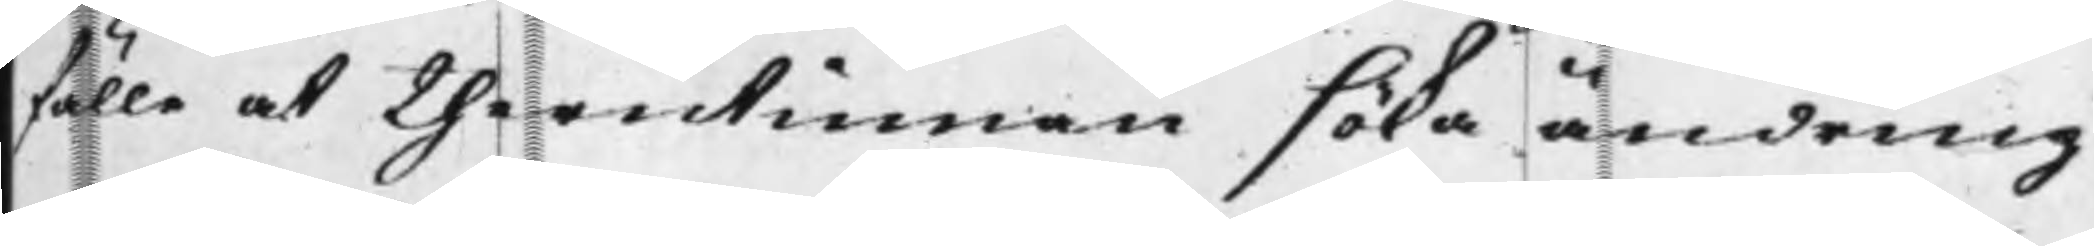fälle at therutinnan söka ändring
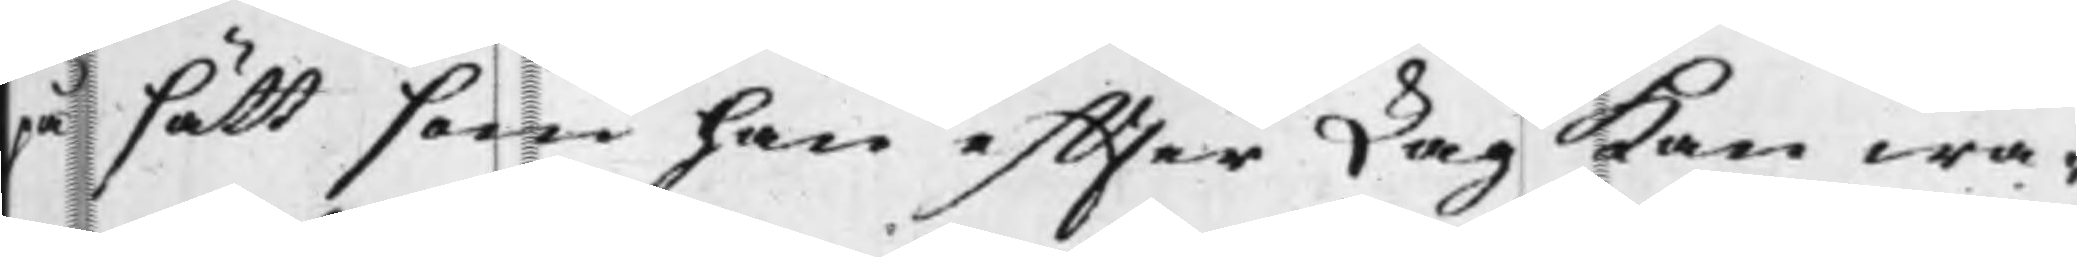på sätt som han effter Lag kan wa¬
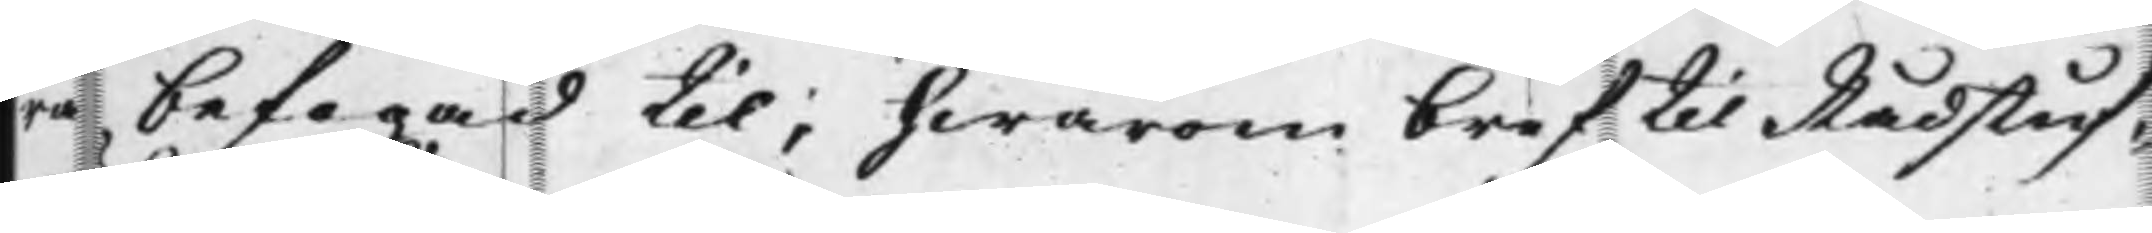ra befogad til; hwarom bref til Rådstuf¬
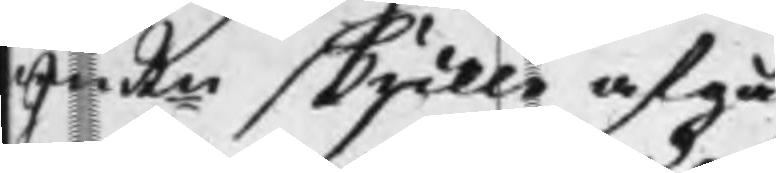wuRn skulle afgå
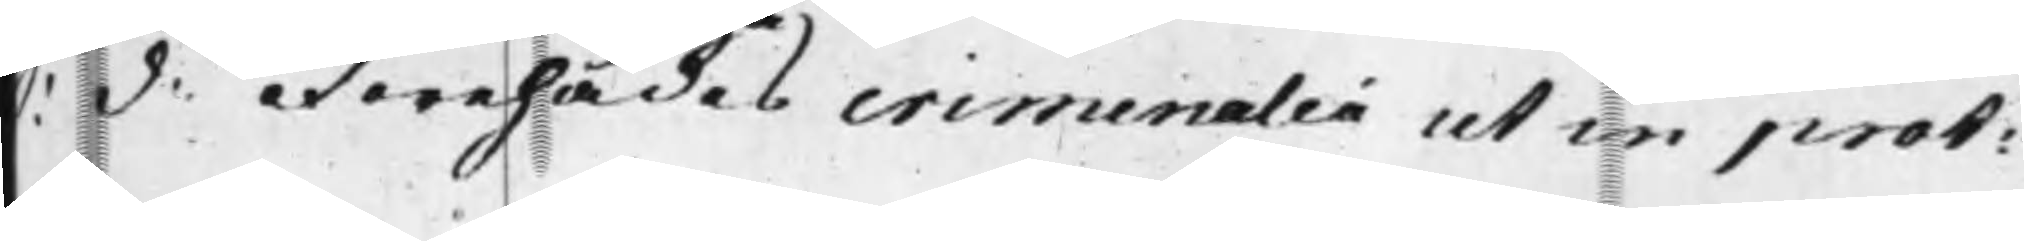S: d. Förehades criminalia ut in prot:
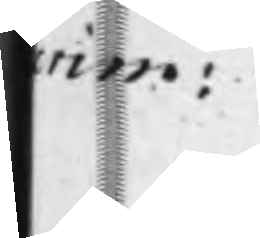crim:
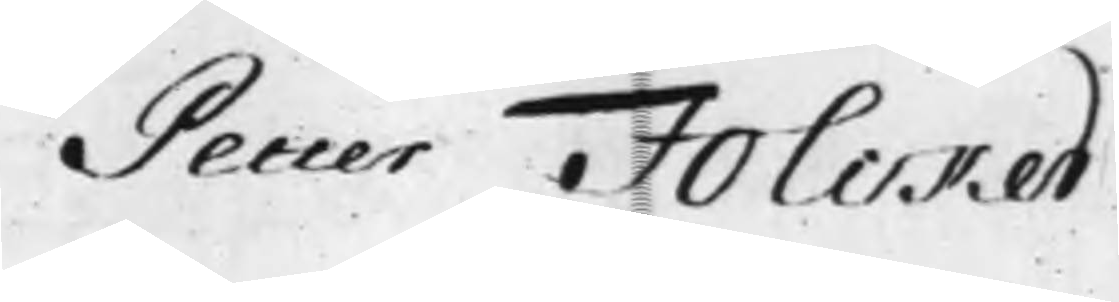Petter Folcker
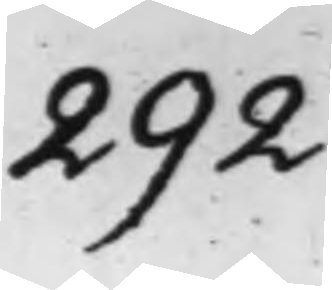292.
